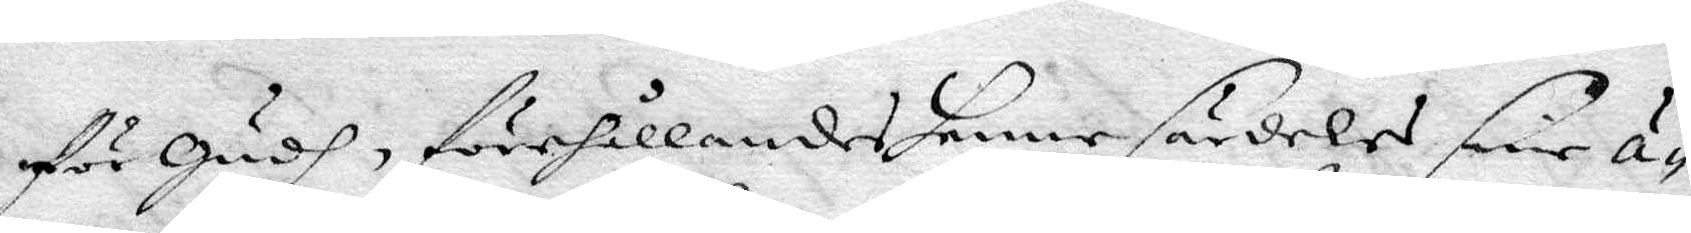för Gudh, förehållandes henne särdeles sine ä¬
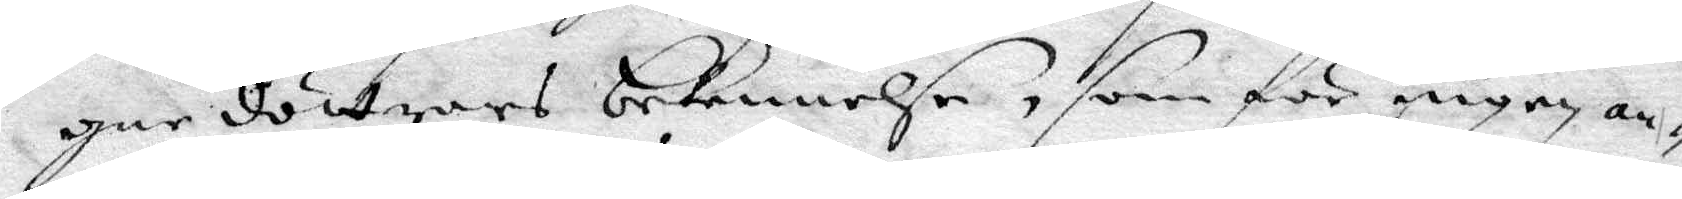gne döttrars bekennelse, som för ingen an¬
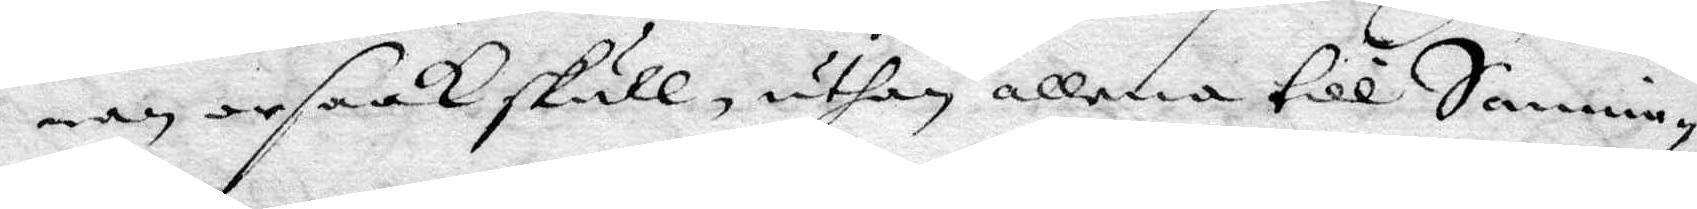nan orsaak skull, uthan allena till Sannin¬
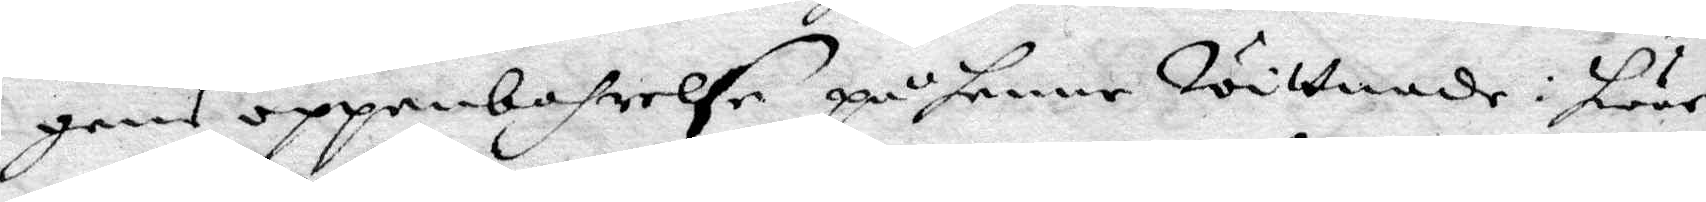gens oppenbarelse på henne wittnade: hwar¬
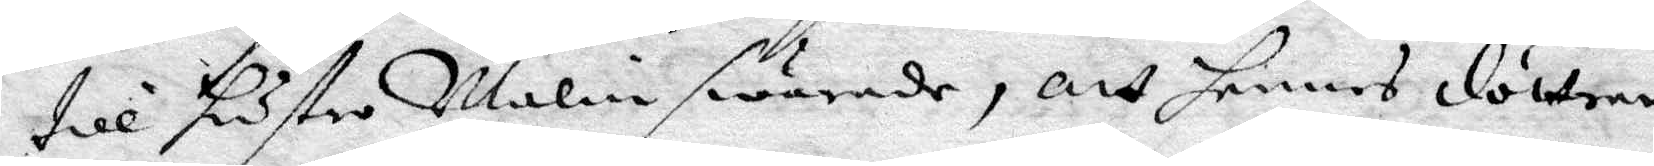till hustro Malin swarade, att hennes döttrar
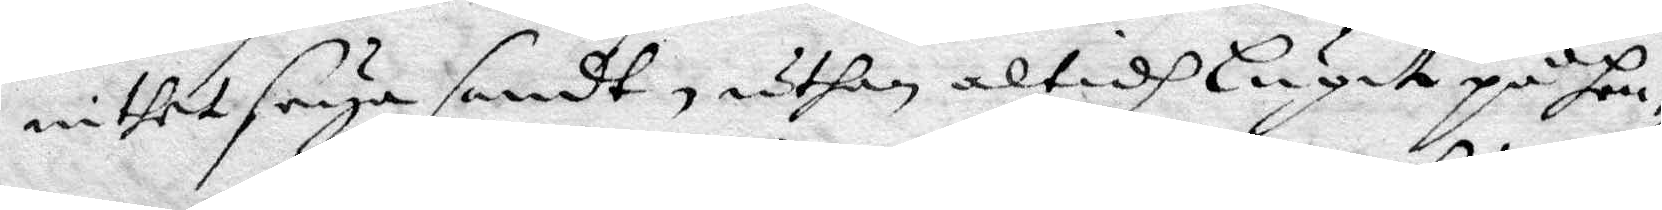intet seya sandt, uthan altidh lugit på hen¬
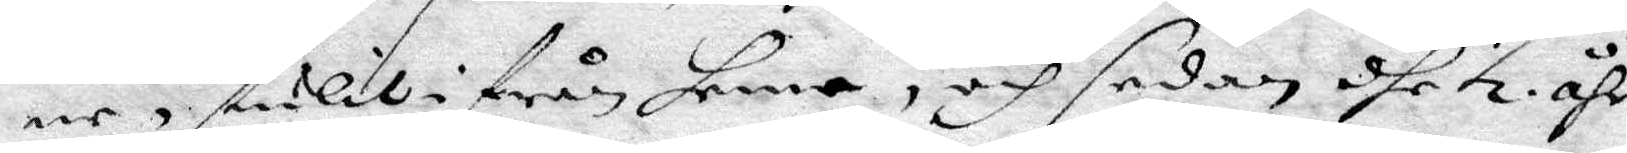ne stulit ifrån henne, och sedan dhe ½ åhr
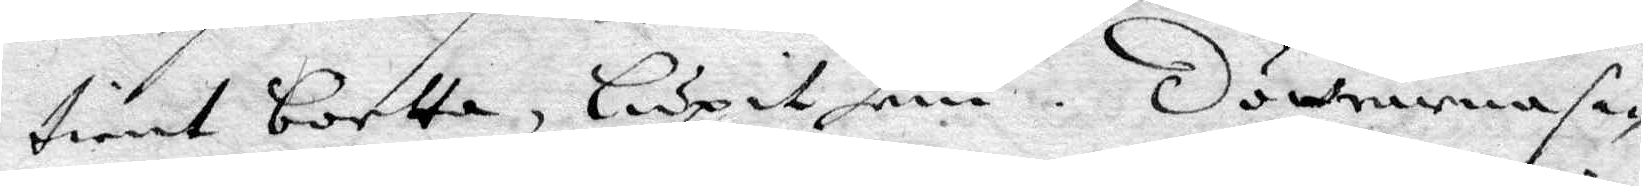tient bortta, Lupit hem. Döttrarna sa¬
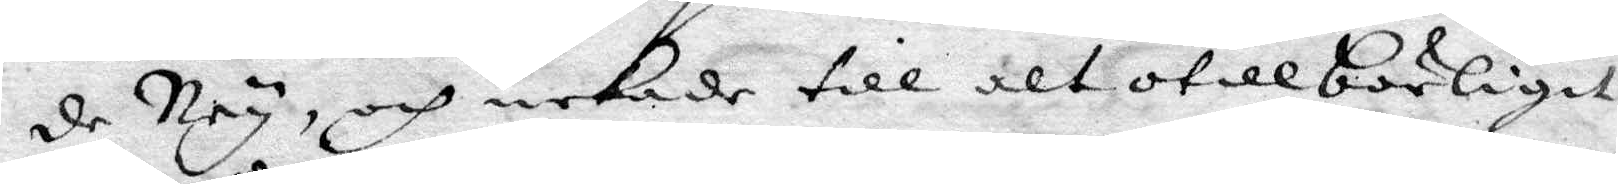de Ney, och nekade till alt otillbörligit
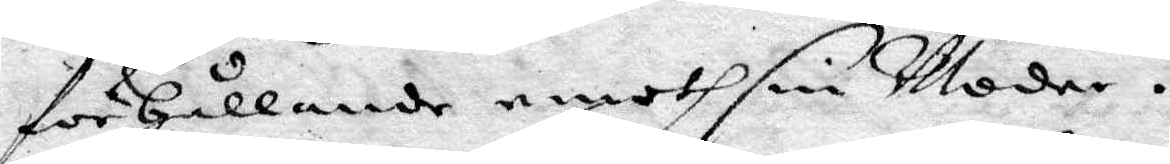förhållande emoth sin Moder.
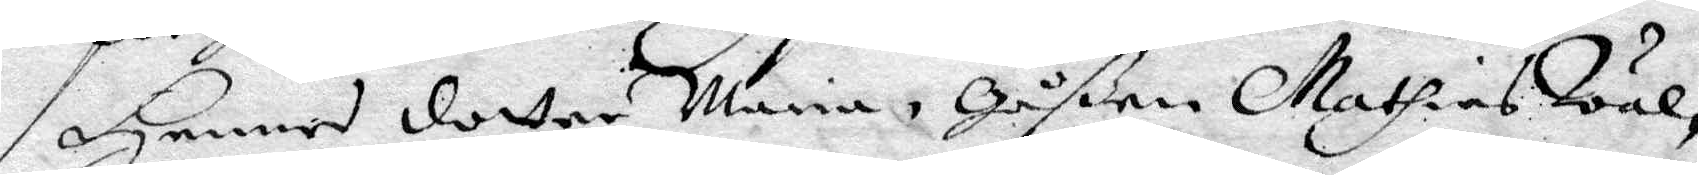Hennes dotter Maria, Gåßen Mathias Wäl¬
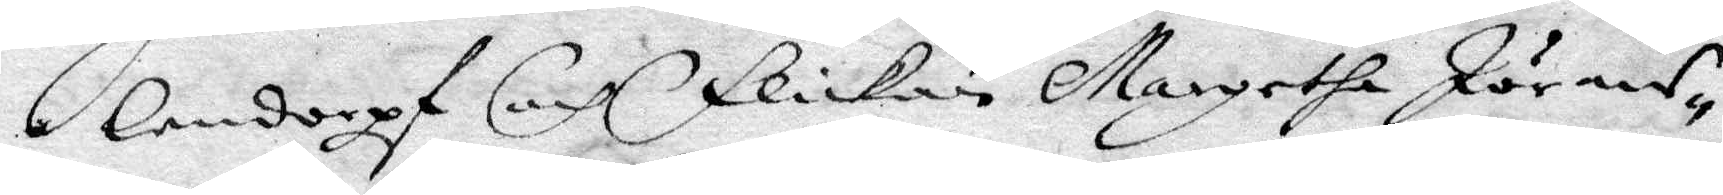lendorpf och flickan Margetha Jörans¬
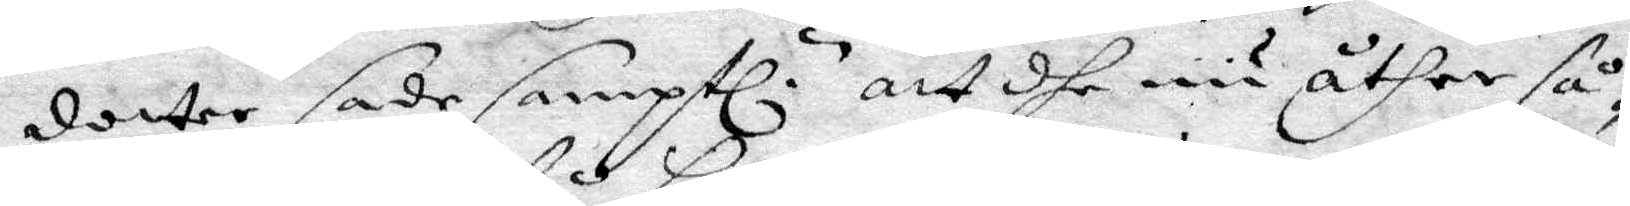dotter sade samptl. att dhe nu åther så¬
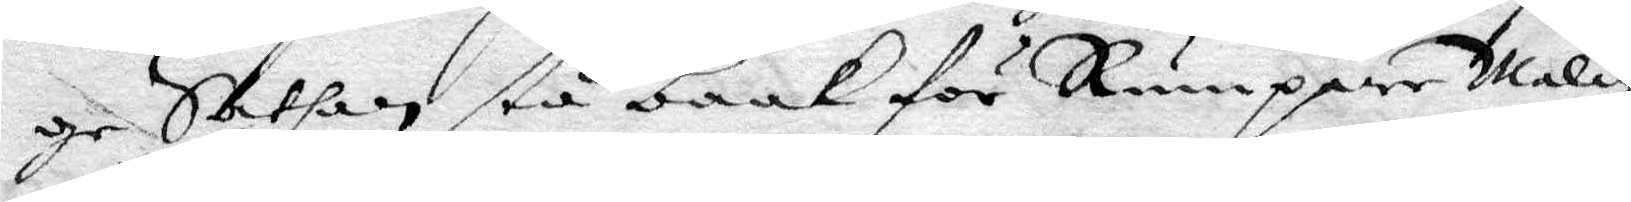ge Sathan stå baak för Rumpare Malin
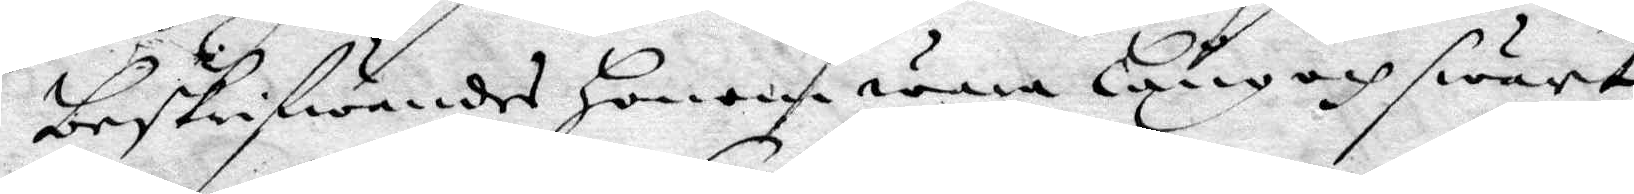beskrifwandes honom wara Lång och swart
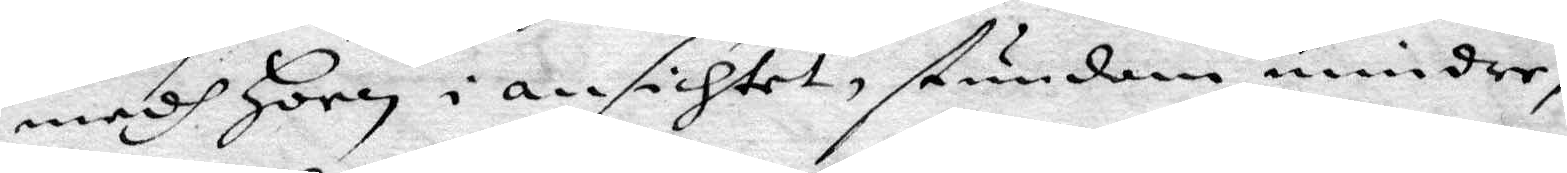medh Horn i ansichtet, stundom mindre,
